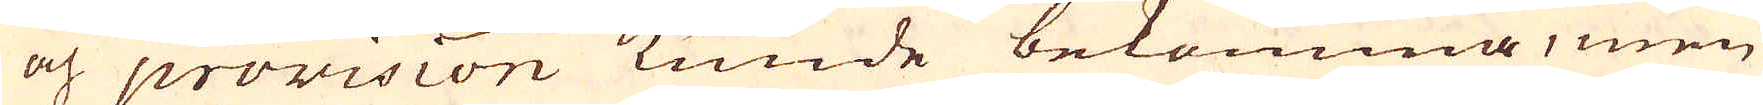och provision kunde bekomma, men
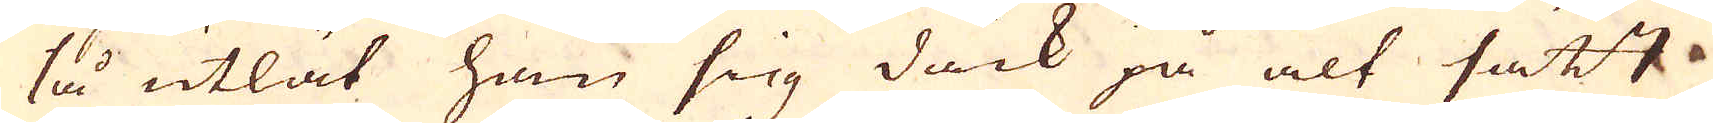så utlät han sig dock på alt sätt
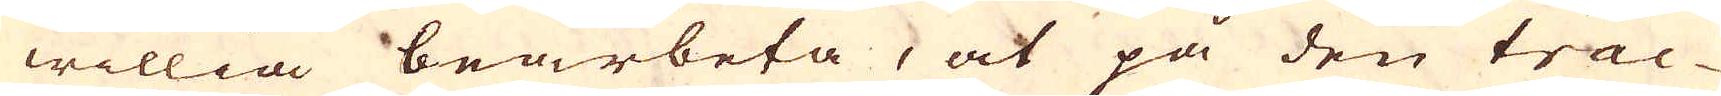willia bearbeta, at på den trac-
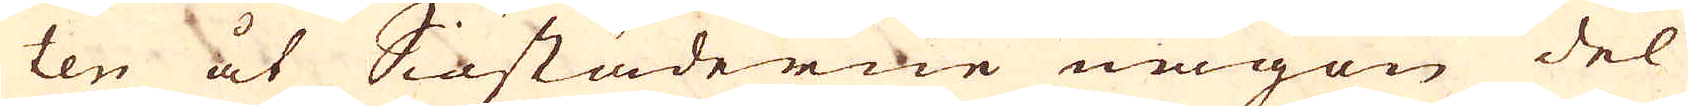ten åt Siöstäderne någon del
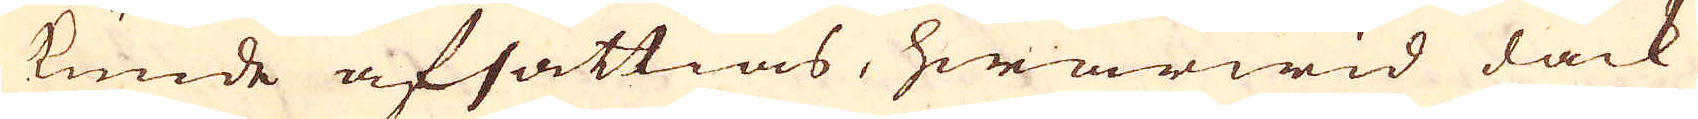kunde afsättias, hwarwid dock
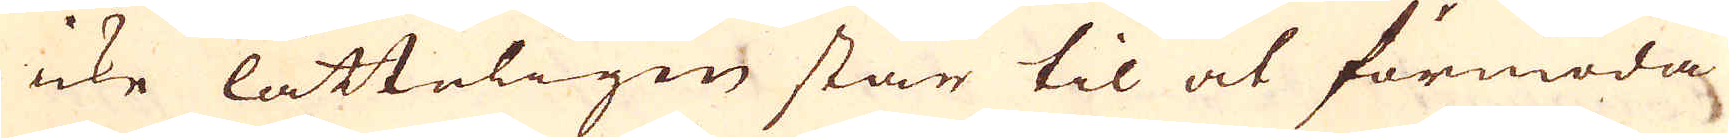icke lätteligen står til at förmoda
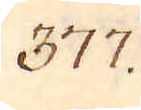377.
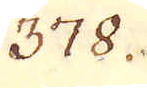378.
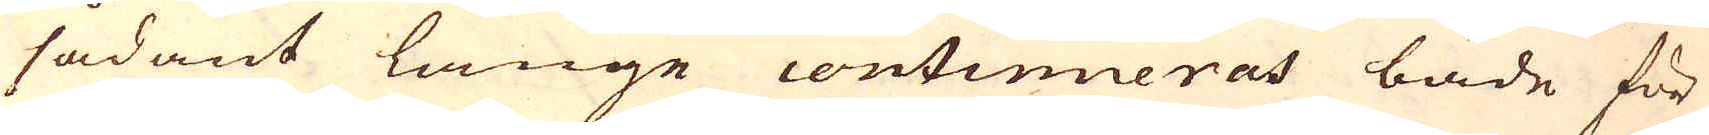sådant länge continueras både för
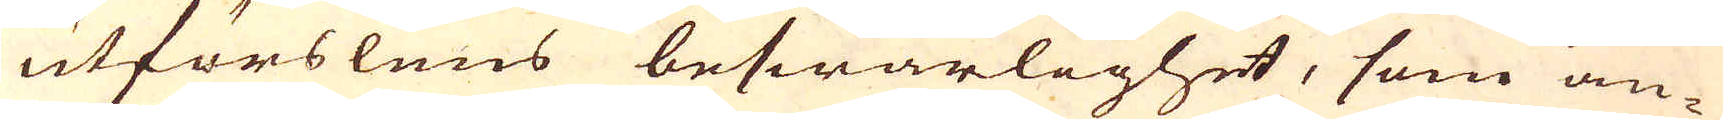utförslens beswärlighet, som an-
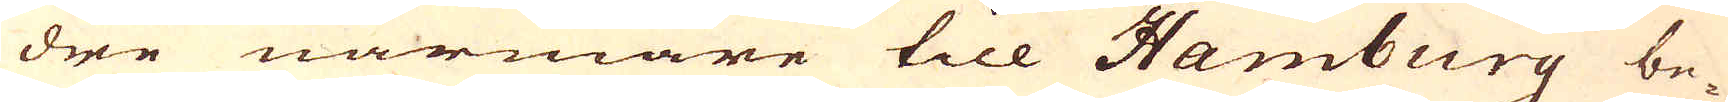dre närmare till Hamburg be-
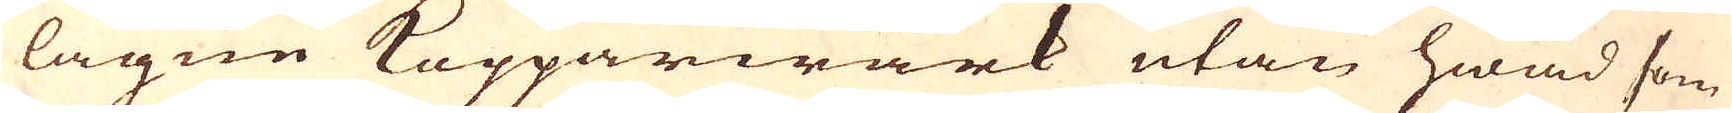lägne Kopparwärk utan hwad som
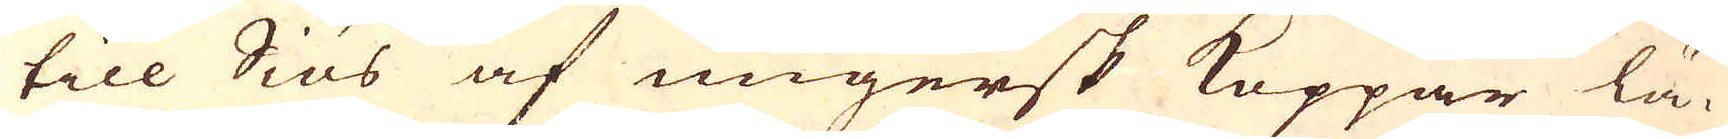till Siös af ungersk Koppar lä-
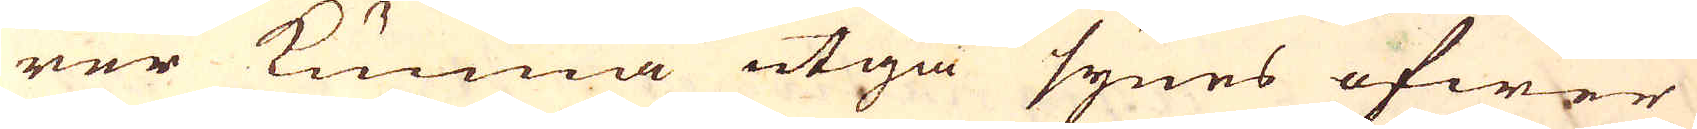rer kunna utgå synes öfwer
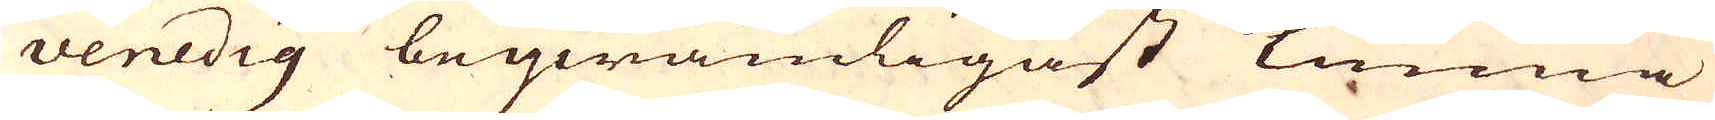Venedig beqwämligast kunna
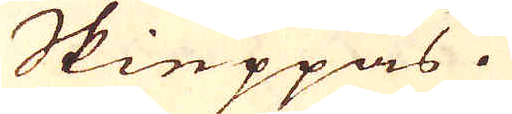Skieppas.
